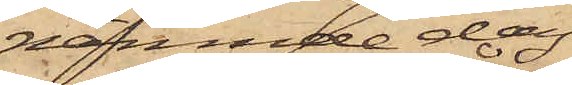nämnde dag
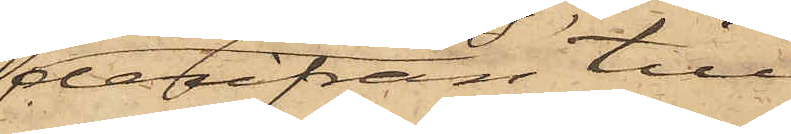derifrån till¬
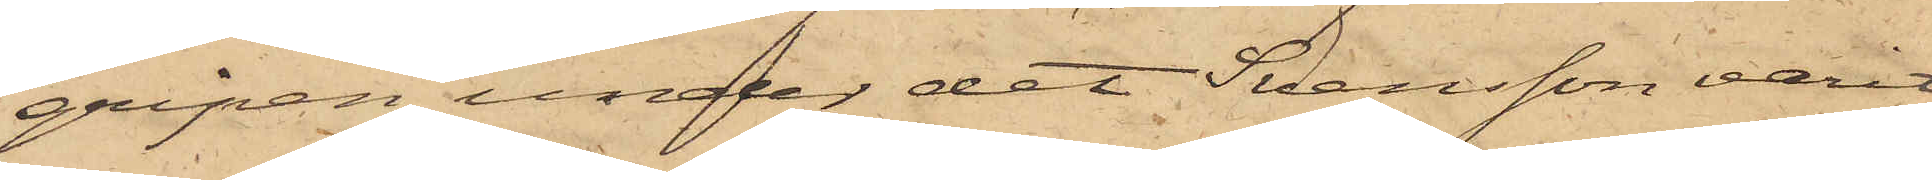gripen, under det Svensson varit
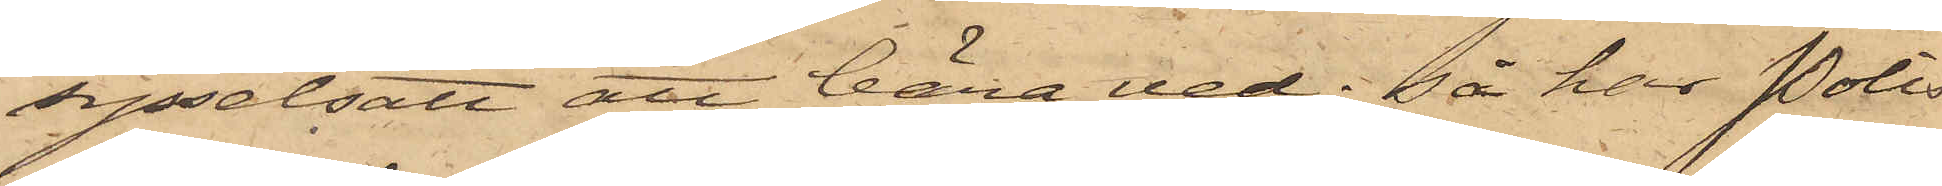sysselsatt att bära ved; så har Polis¬
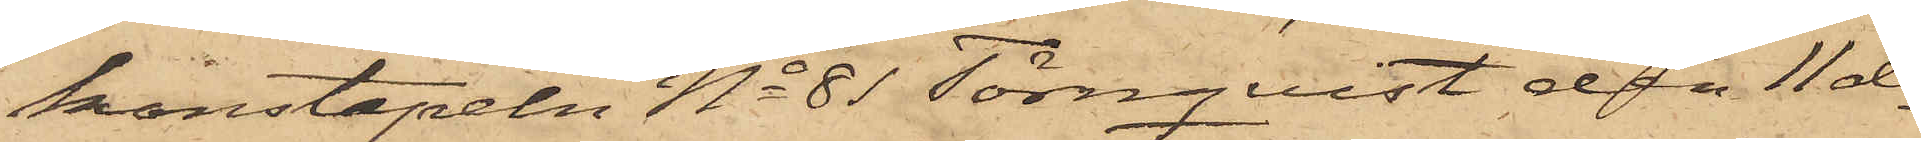konstapeln No 81 Törnquist den 11 ds
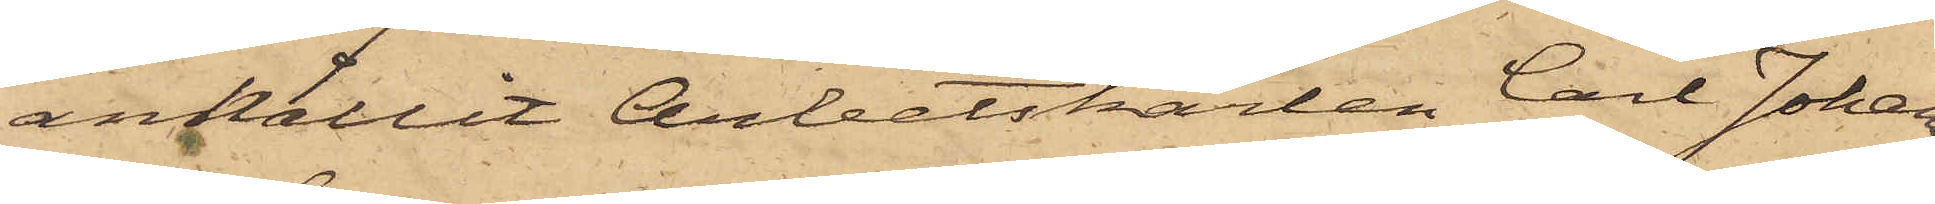anhållit Arbetskarlen Carl Johan¬
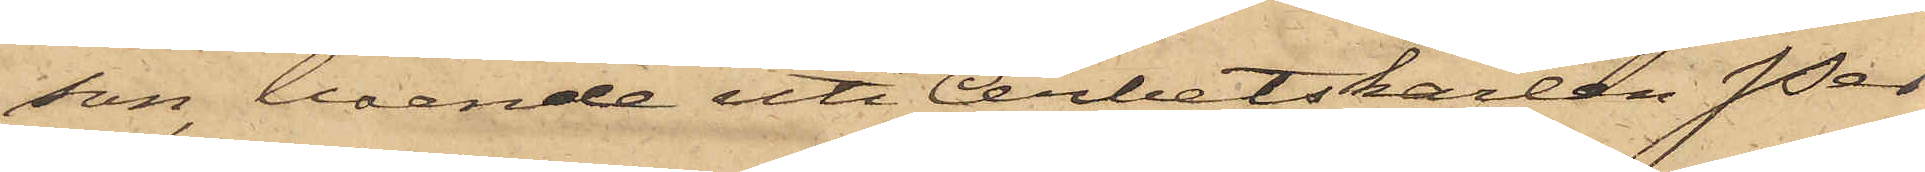son, boende uti Arbetskarlen Per
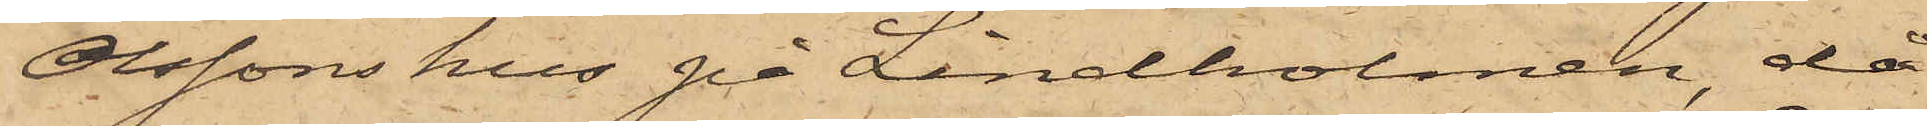Olssons hus på Lindholmen, då
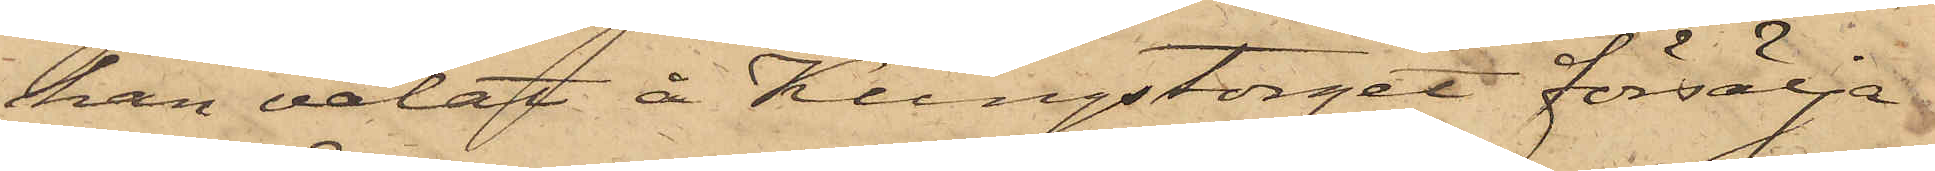han velat å Kungstorget försälja
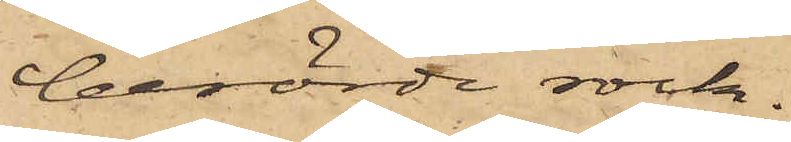berörde rock.
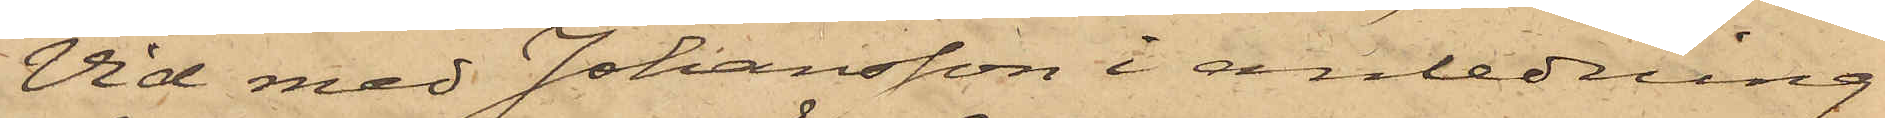Vid med Johansson i anledning
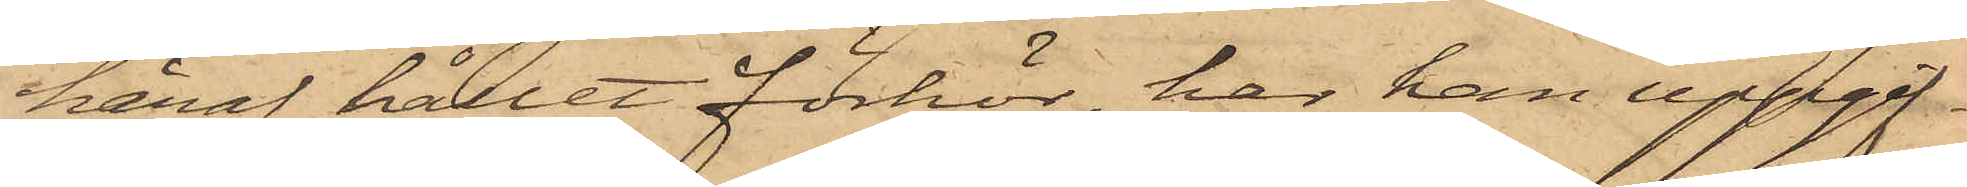häraf hållet förhör, har han uppgif¬
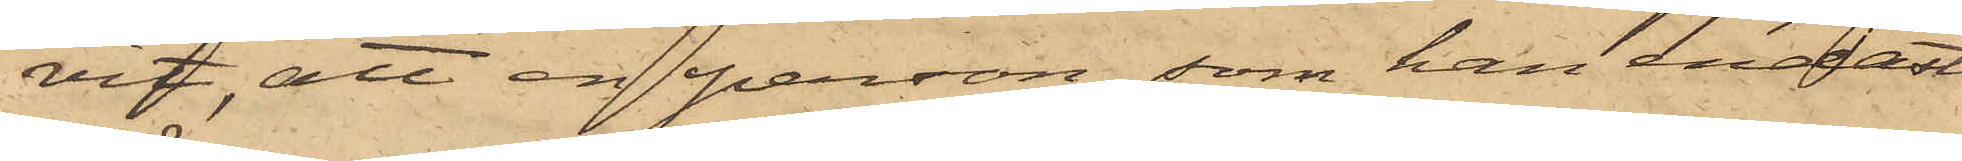vit, att en person, som han endast
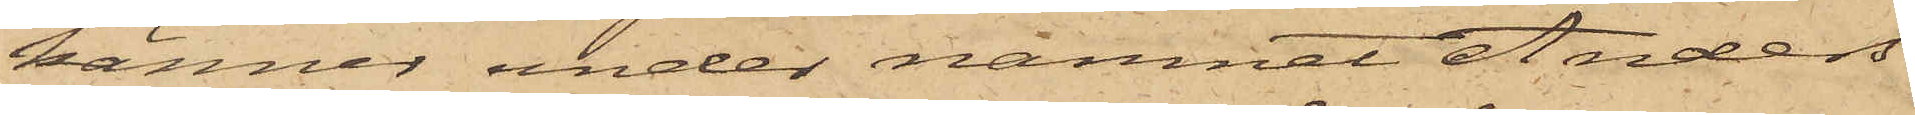känner under namnet Anders
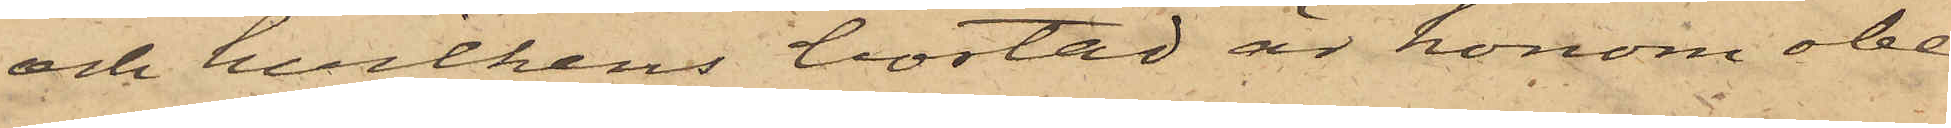och hvilkens bostad är honom obe¬
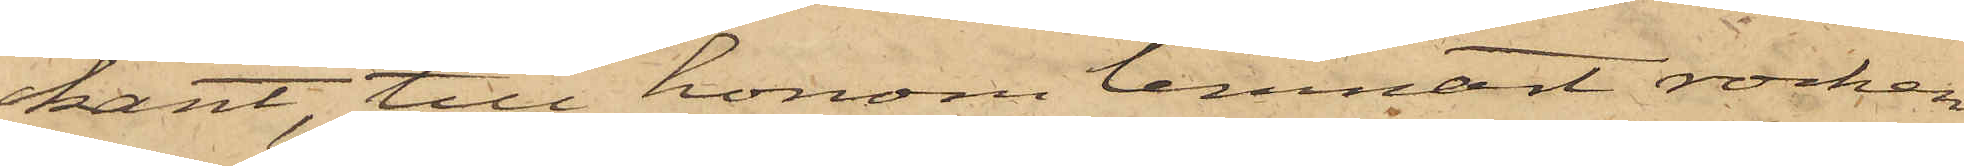kant, till honom lemnat rocken
